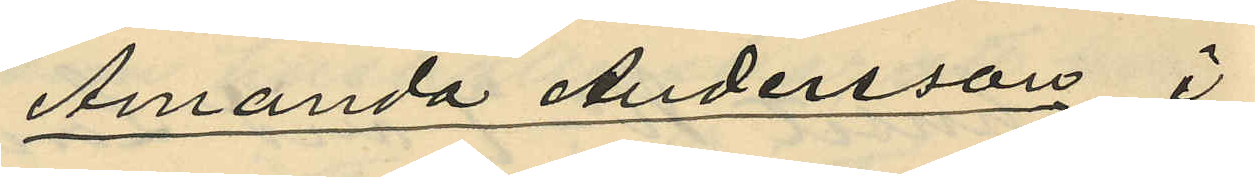Amanda Andersson i
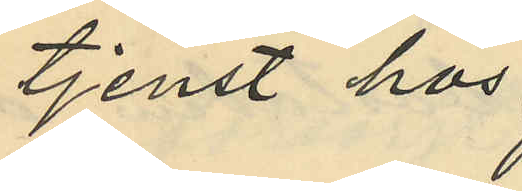tjenst hos
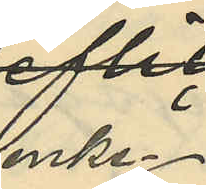enke¬
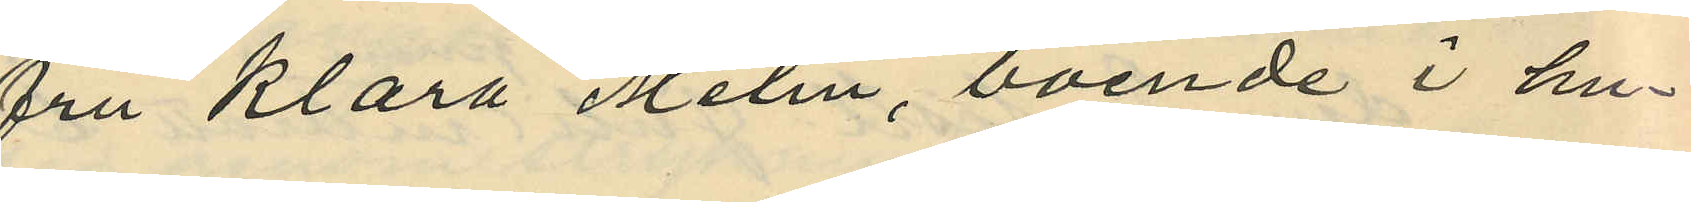fru Klara Melin, boende i hu¬
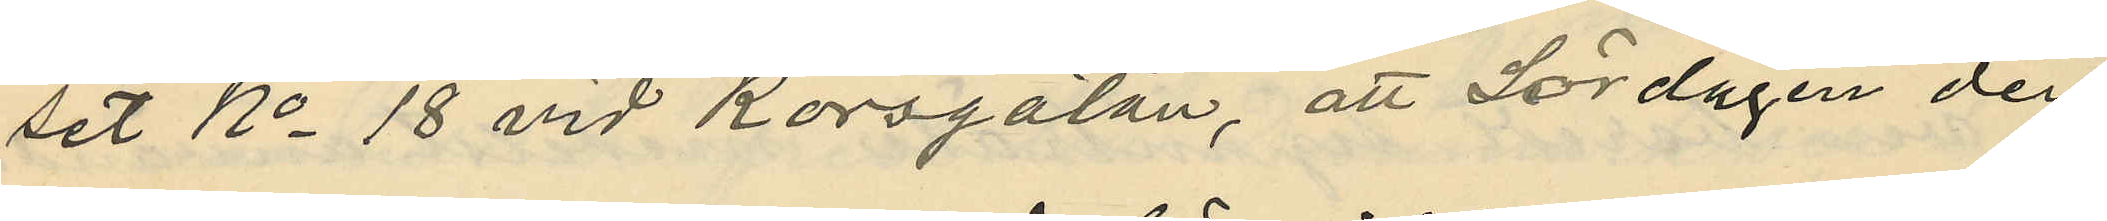set No 18 vid Korsgatan, att Lördagen den
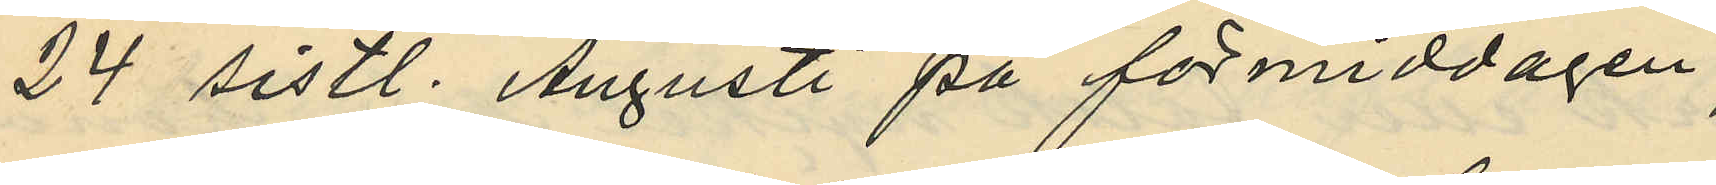24 sistl. Augusti på förmiddagen
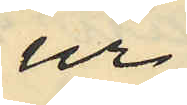ur
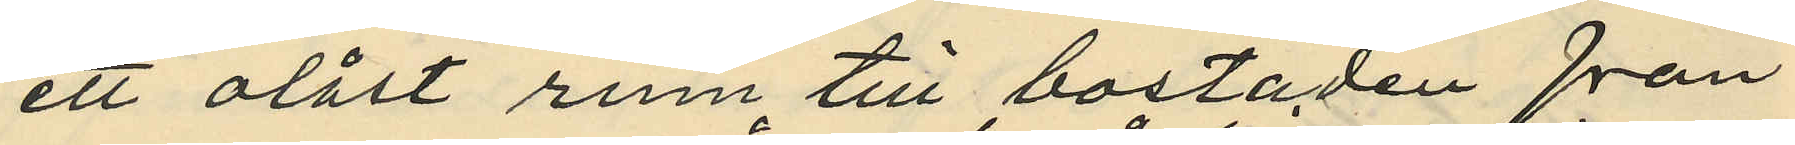ett olåst rum till bostaden från
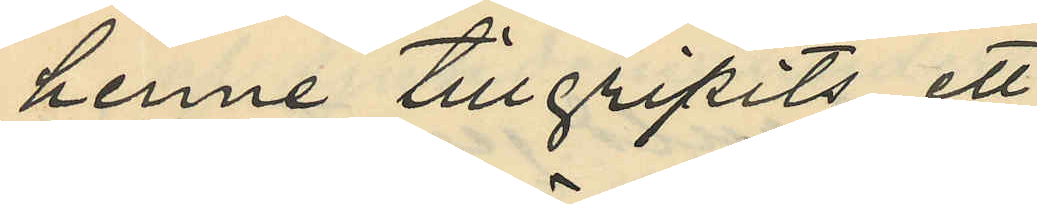henne tillgripits ett
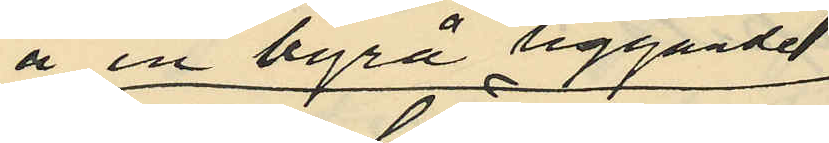å en byrå liggande
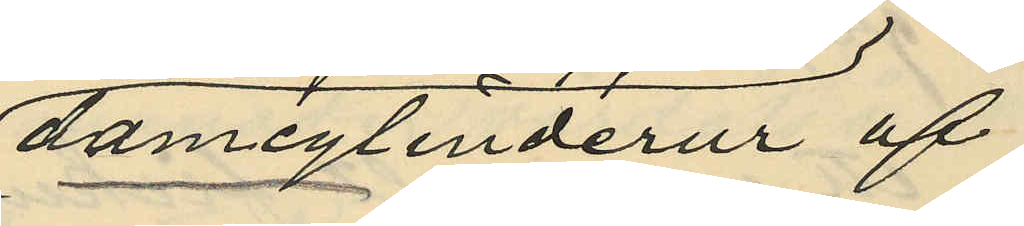damcylinderur af
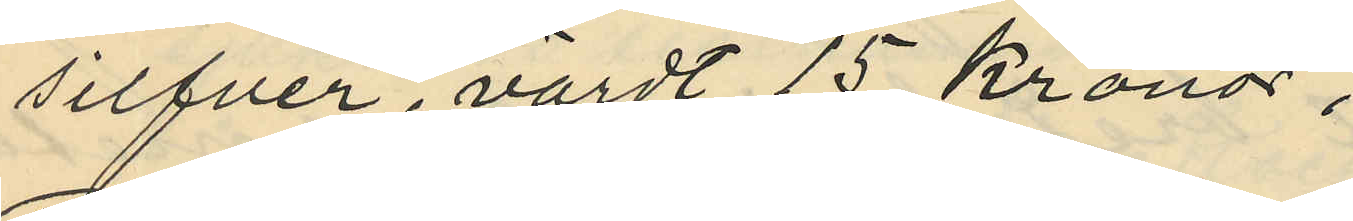silfver, värdt 15 Kronor.
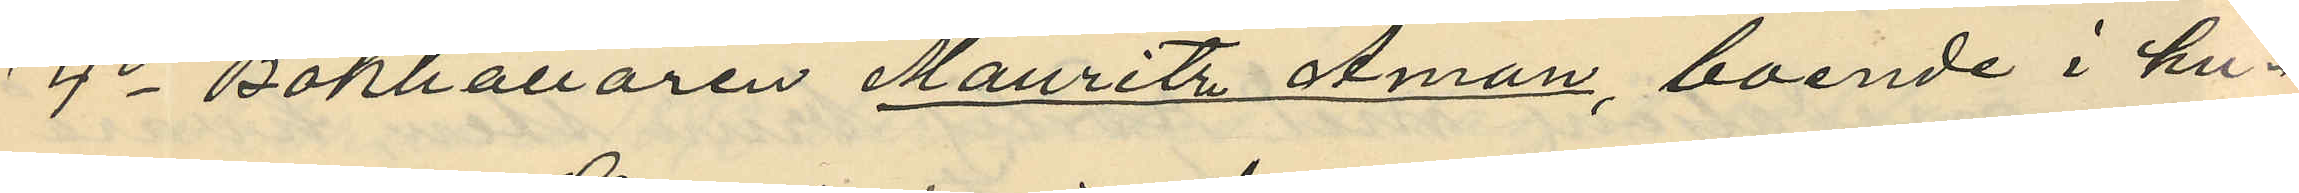4o Bokhållaren Mauritz Åman, boende i hu¬
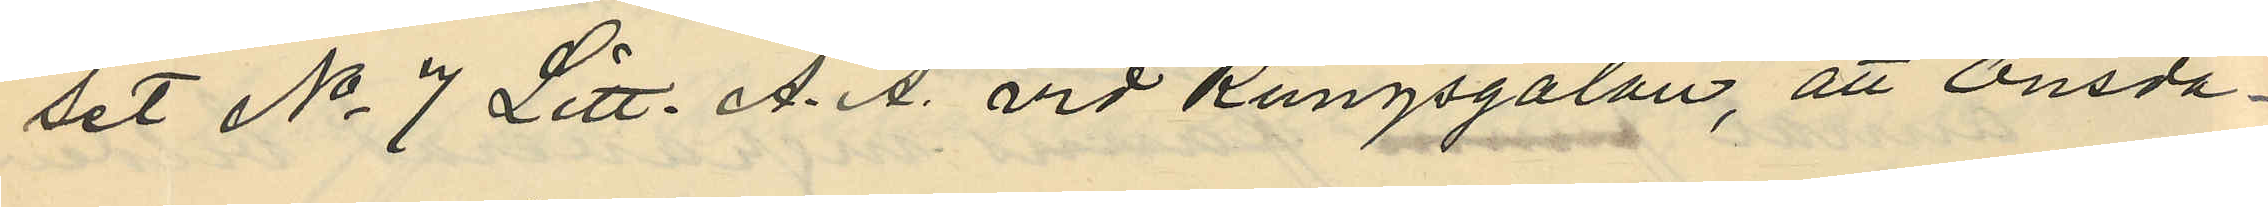set No 7 Litt. A. A. vid Kungsgatan, att Onsda¬
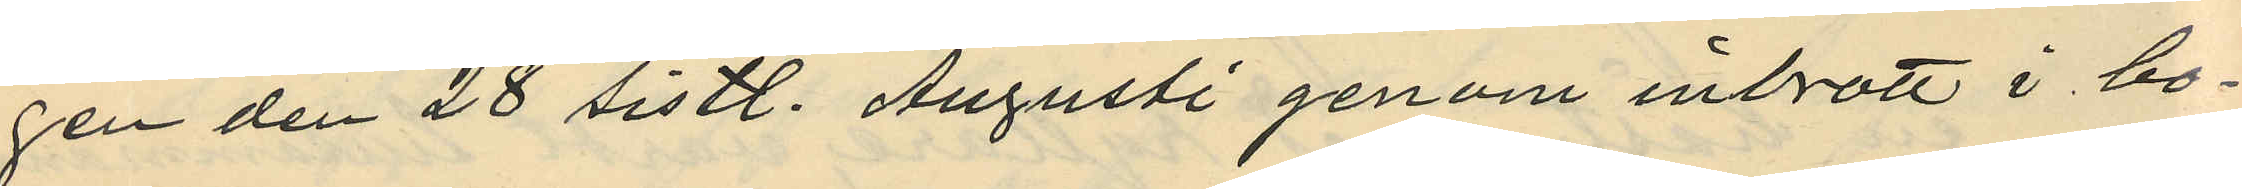gen den 28 sistl. Augusti genom inbrott i bo¬
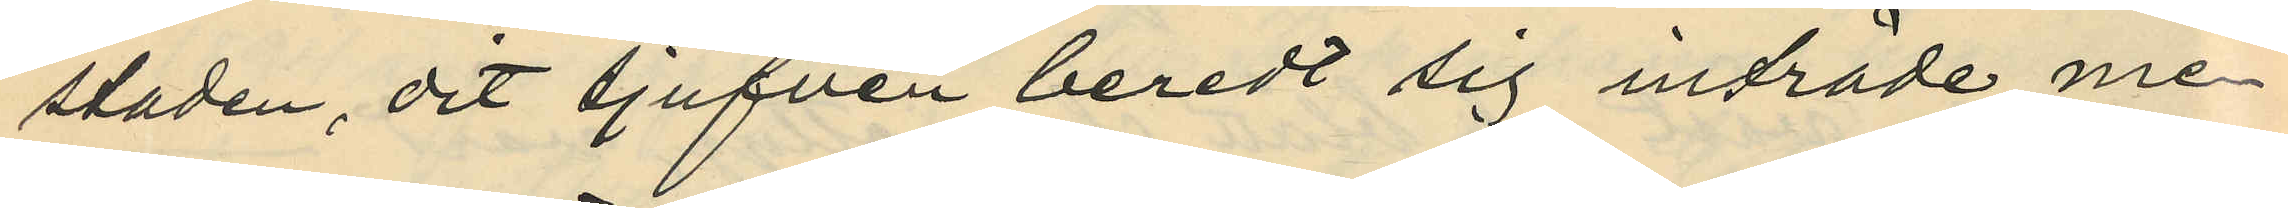staden, dit tjufven beredt sig inträde me¬
